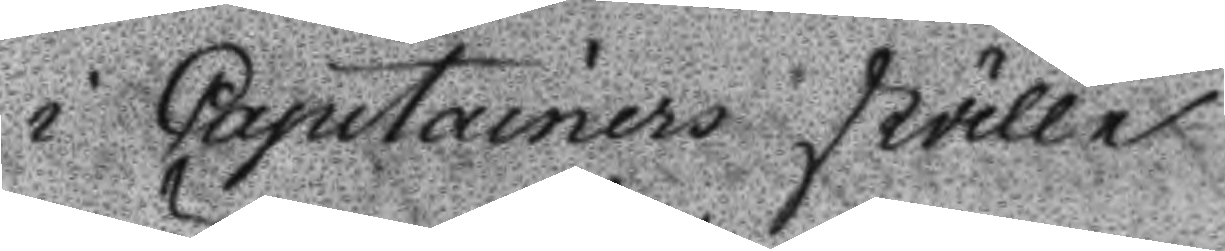i Capitainers ställe.
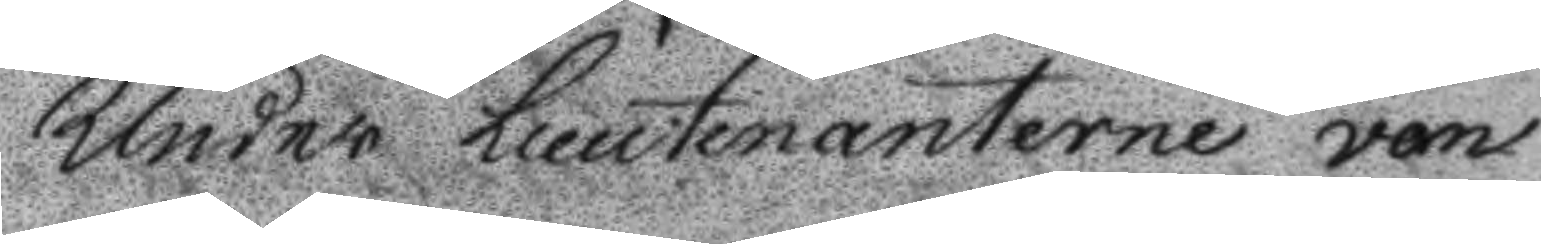Under Lieutenaterne von
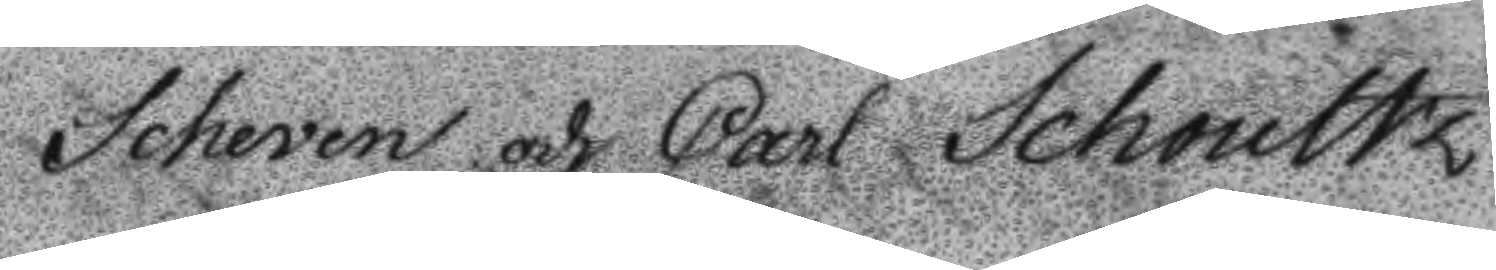Scheven och Carl Schoultz
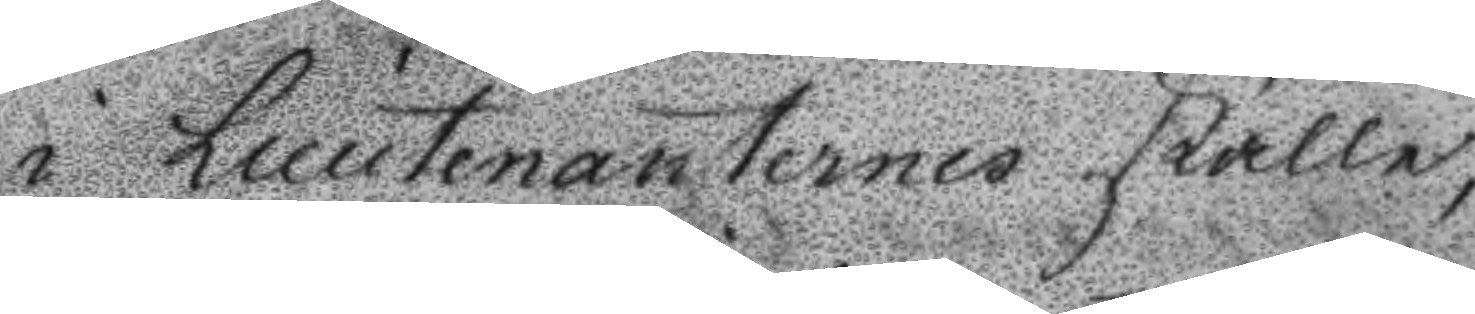i Lieutenanternes ställe, 
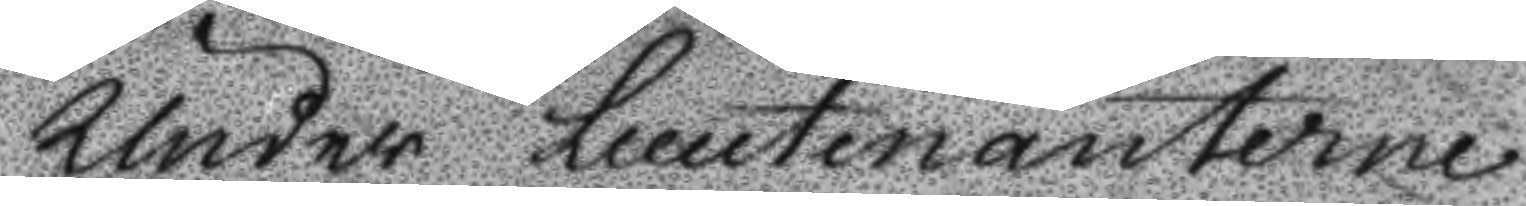Under Lieutenaterne
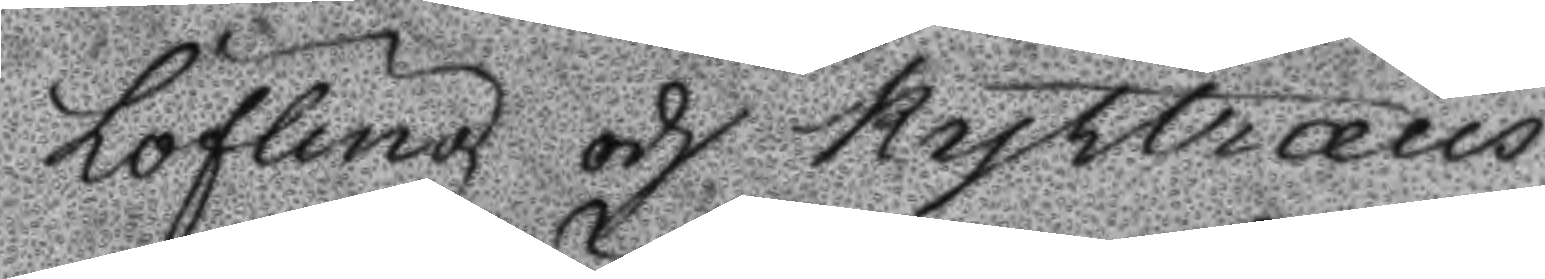Löfling och Kyltræus,
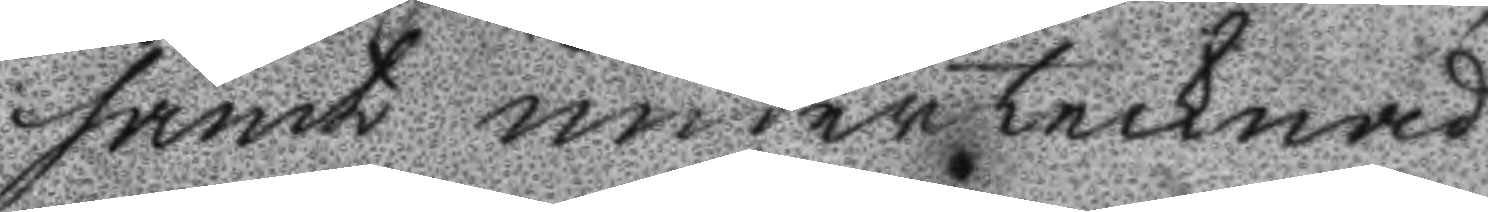samt undertecknad
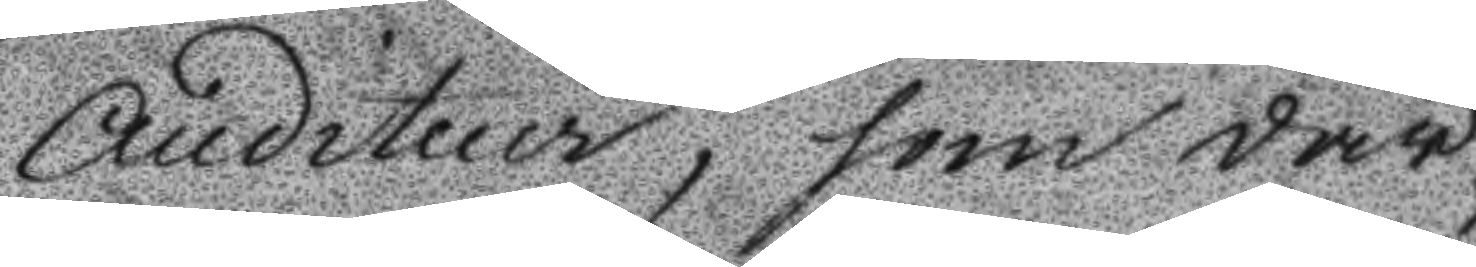Auditeur, som där¬
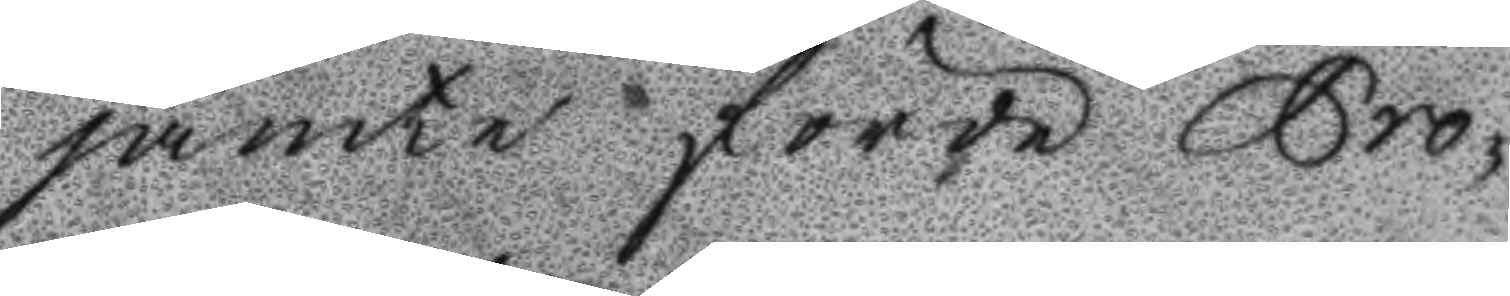jämte förde Pro¬
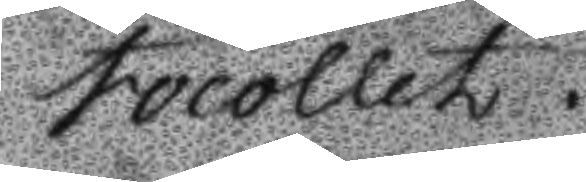tocollet.
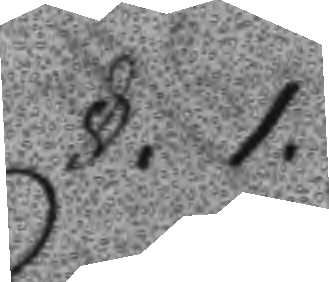§. 1.
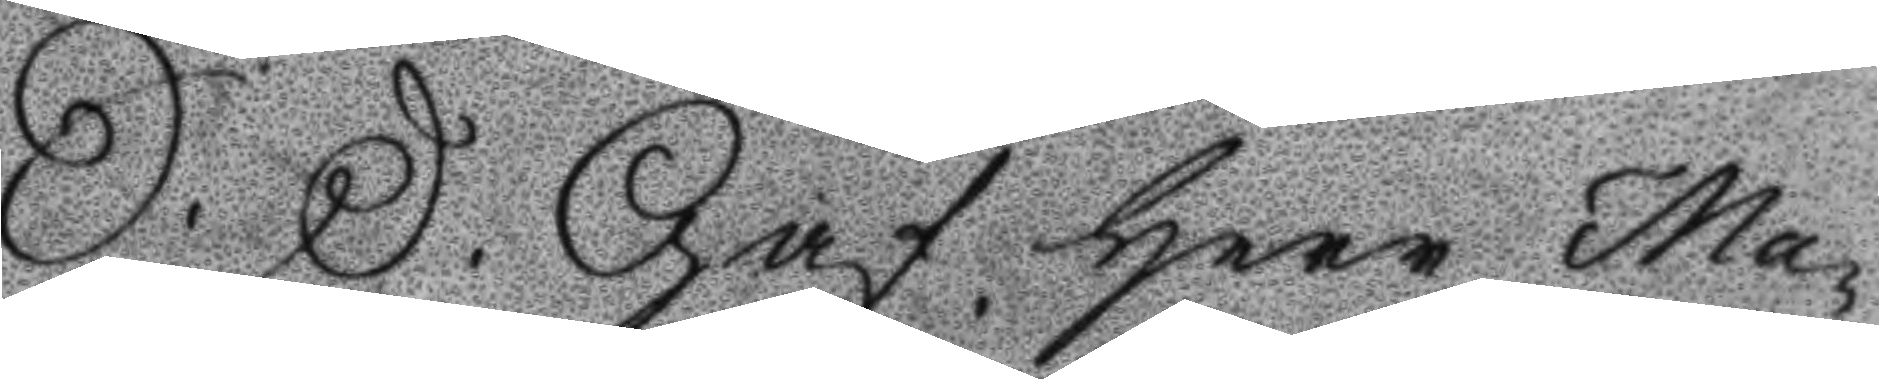S: D: Gaf Herr Ma¬
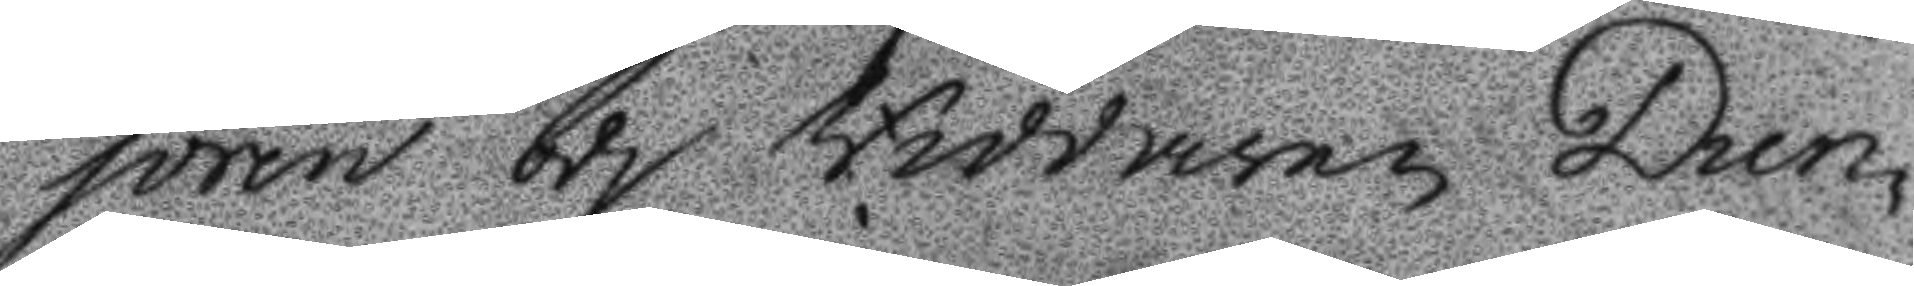joren och Riddaren Dun¬
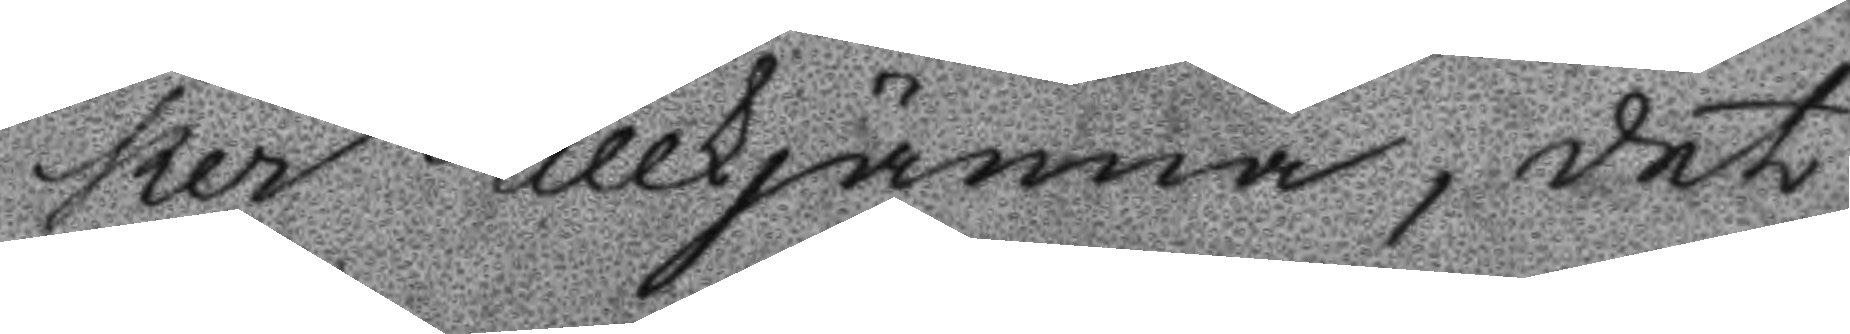ker tillkjänna, det
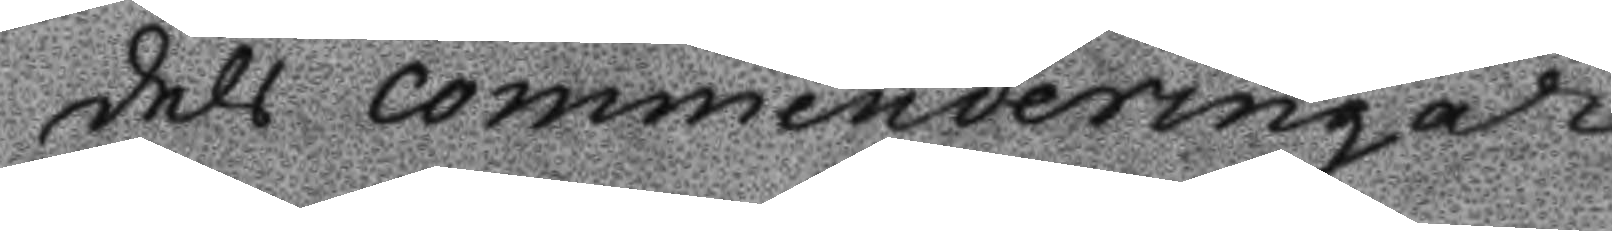dels commenderingar
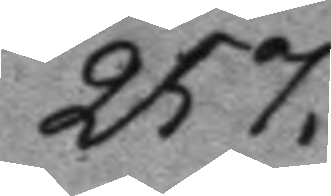257.
